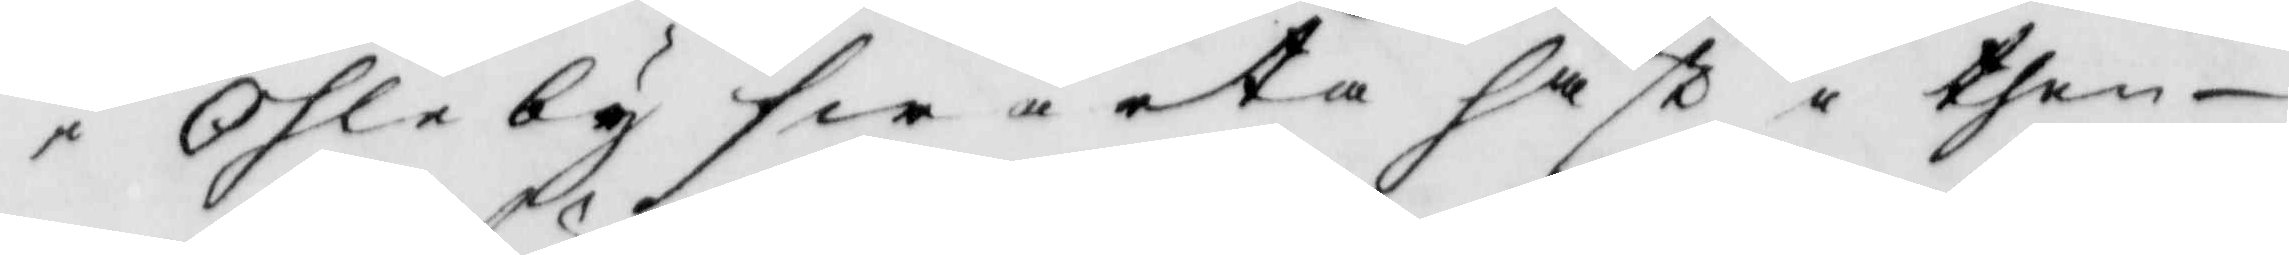i Ohleby swarta häst i then
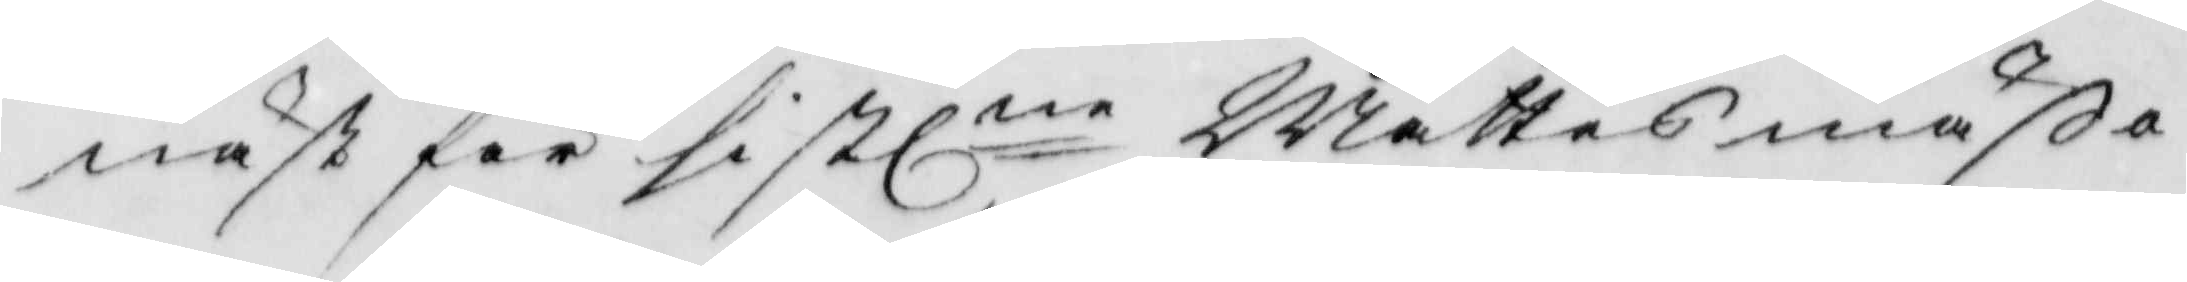näst för sistlne Mattes mäßa 
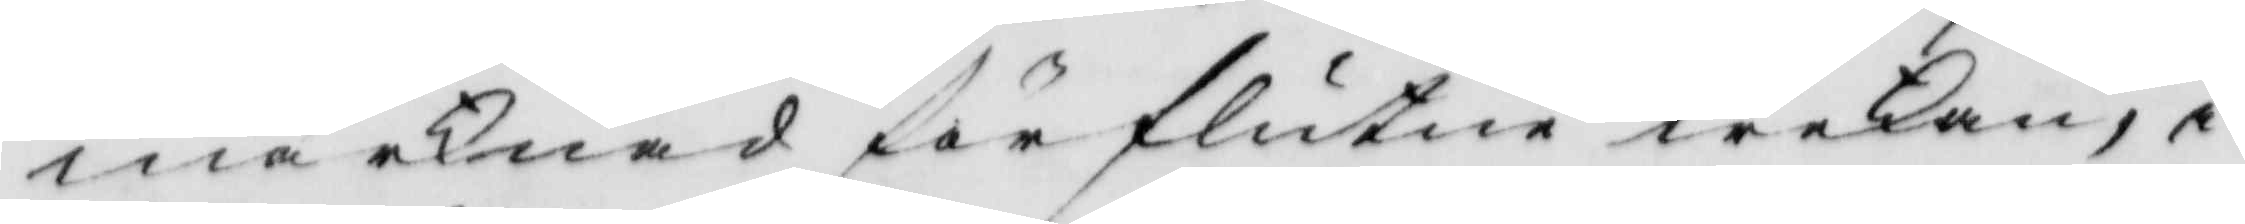marknad förflutne wekan, i
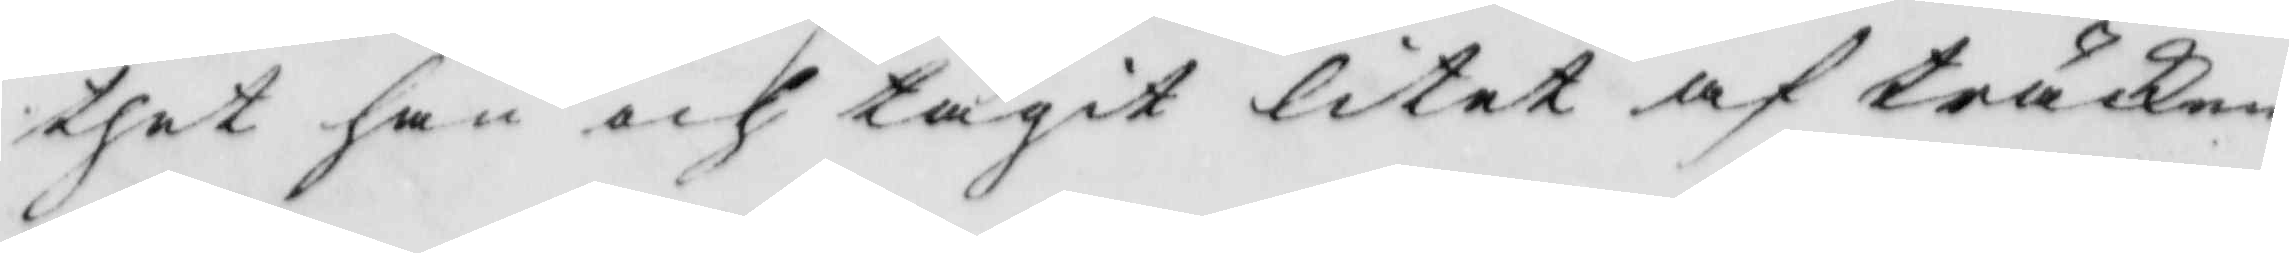thet han och tagit litet af träcken
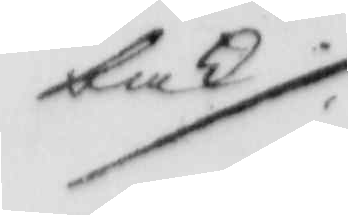bak
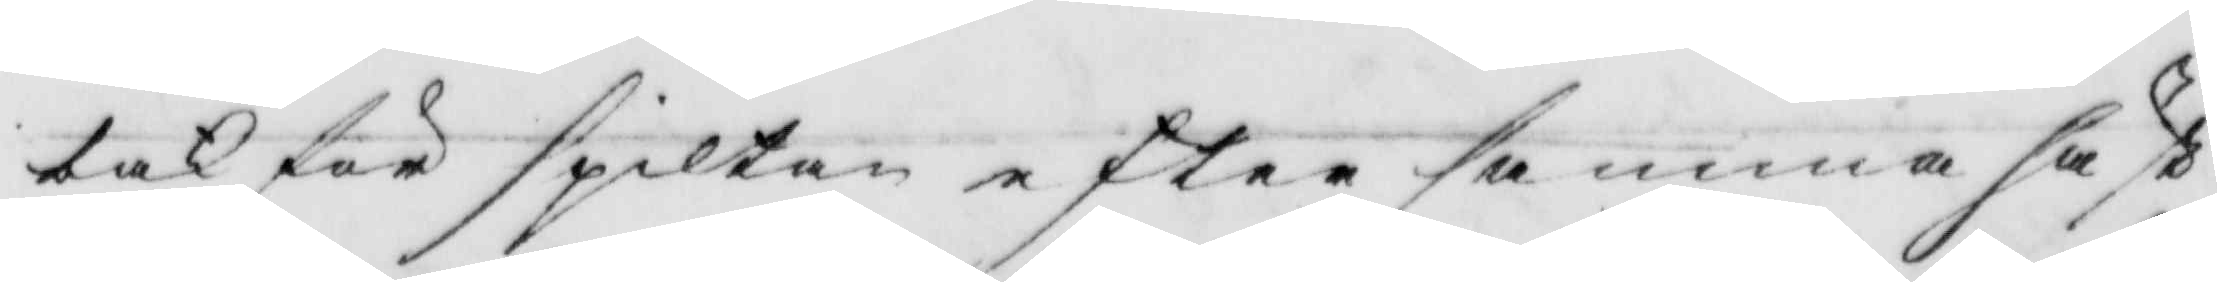bak för spiltan efter samma häst
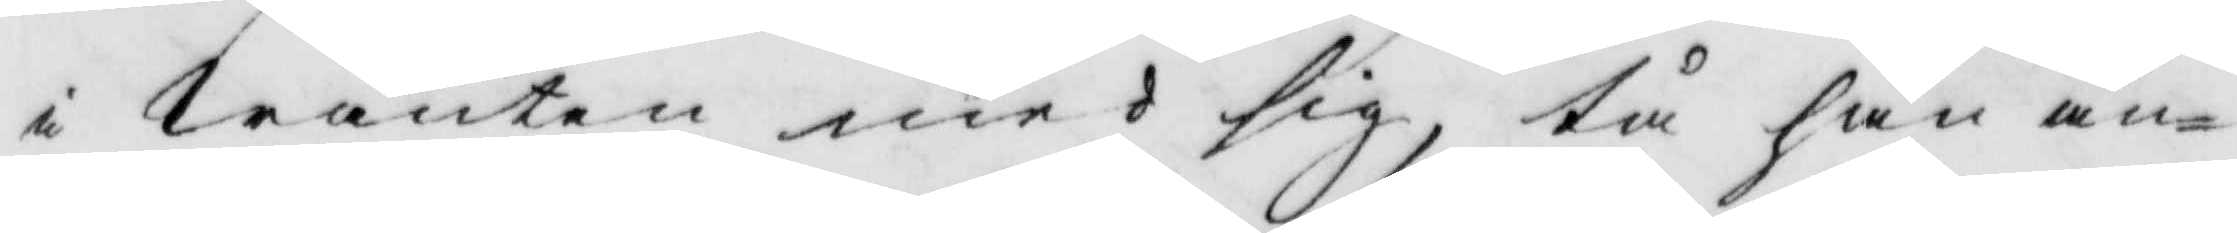i wanten med sig, tå han än¬
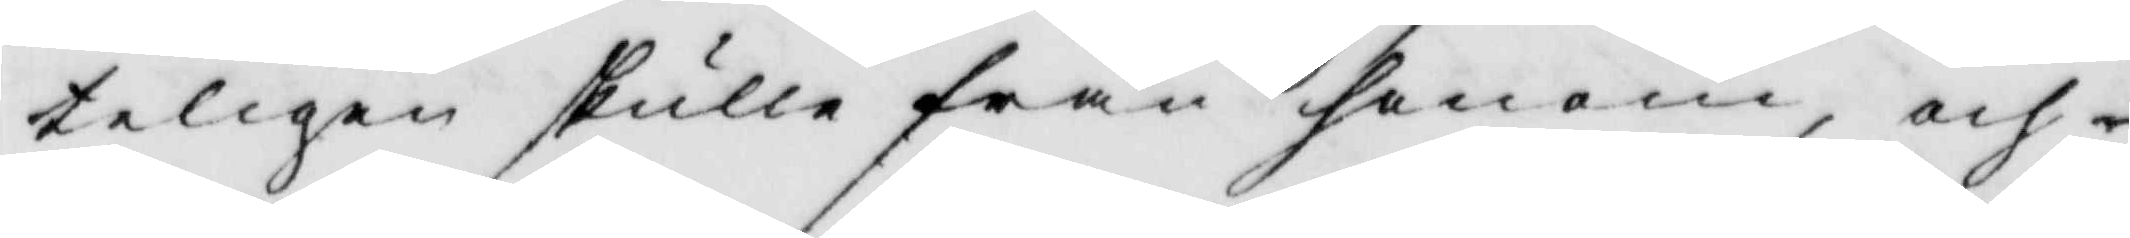teligen skulle från honom, och
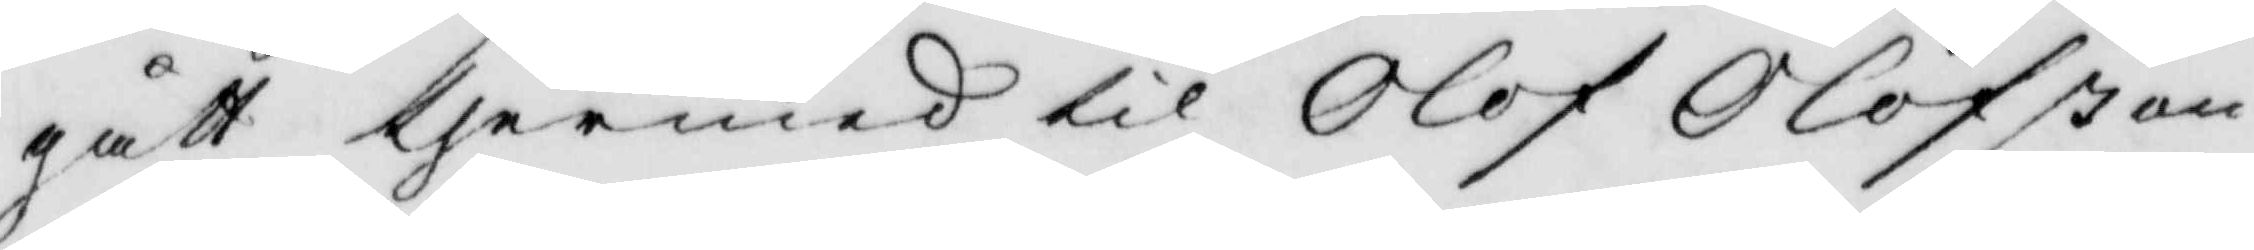gått termed til Olof Olofßon
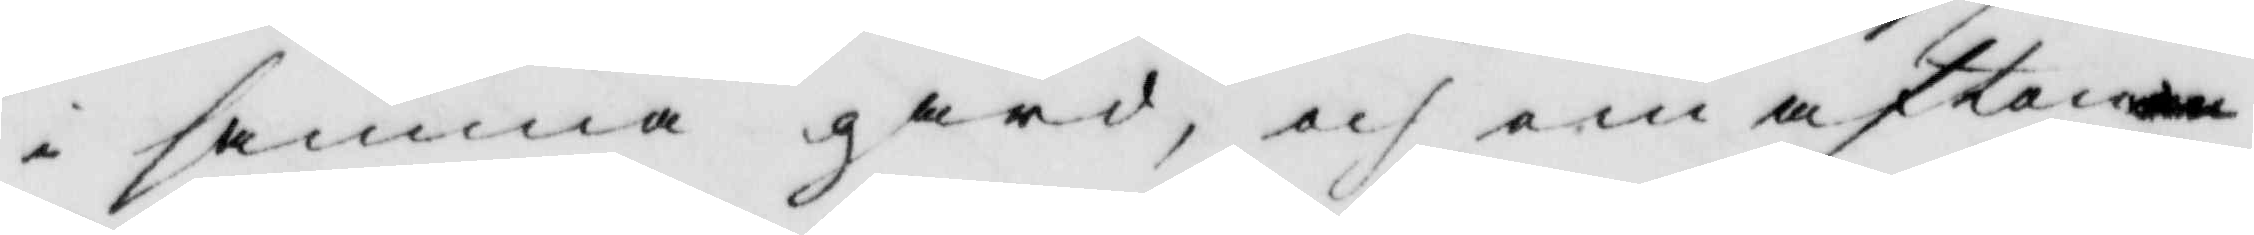i samma gård, och om afton
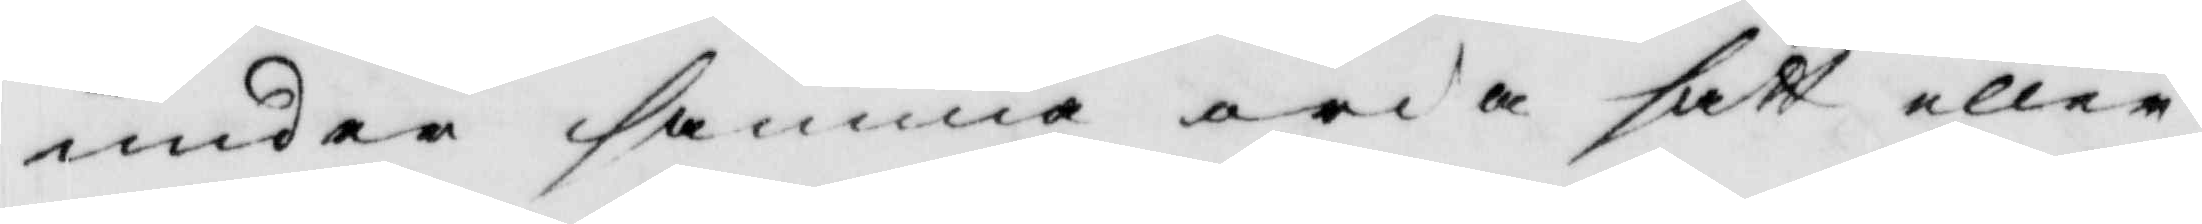under samma orda sätt eller
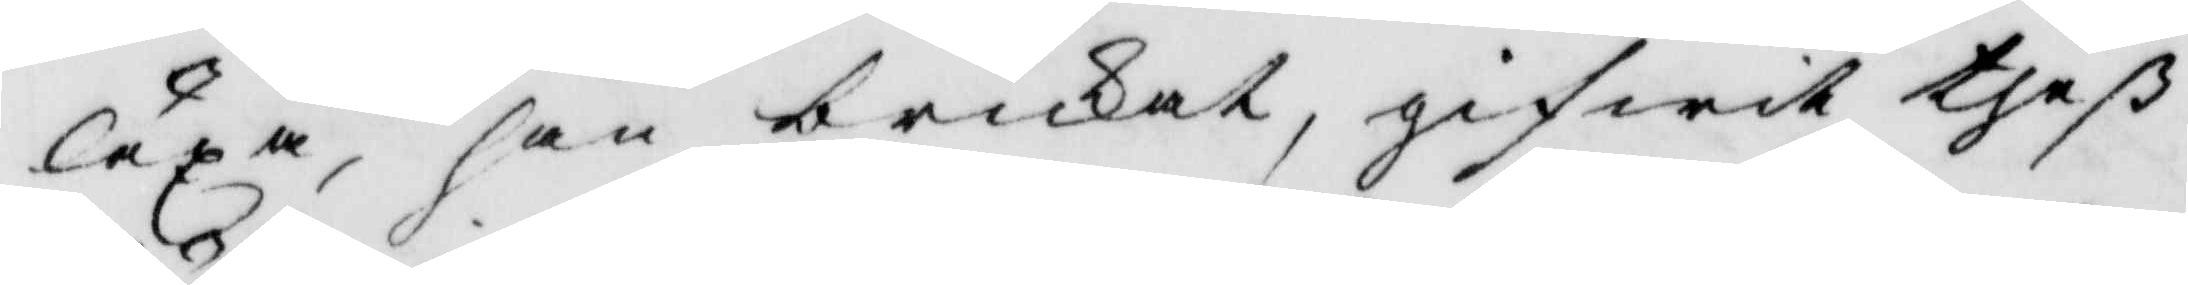läxa, han brukat, gifwit theß
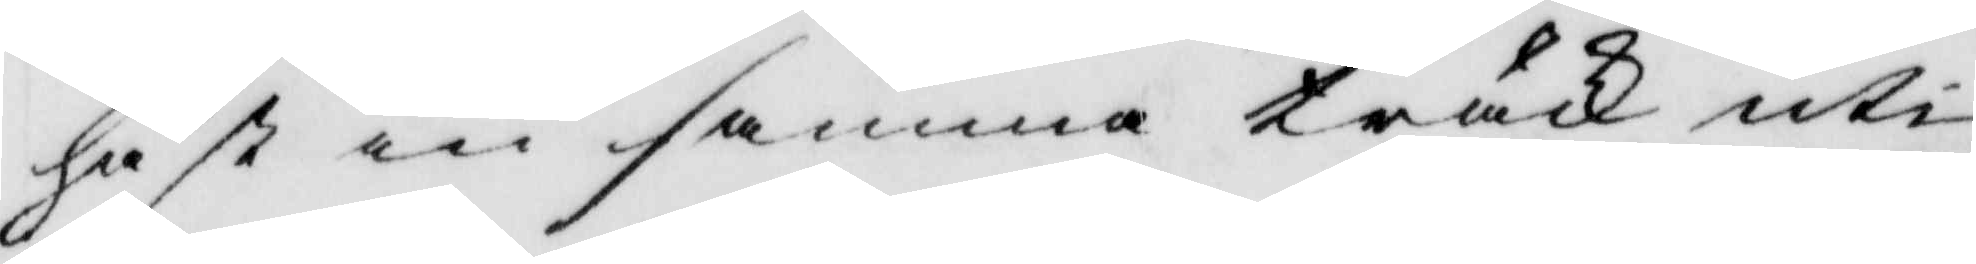häst in samma träck uti
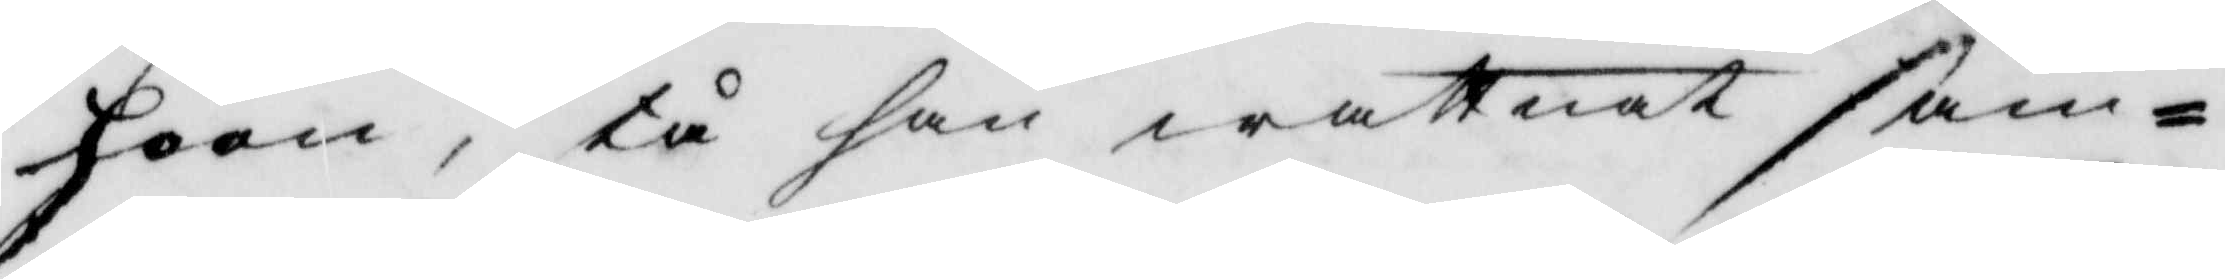hoon, tå han wattnet sam¬
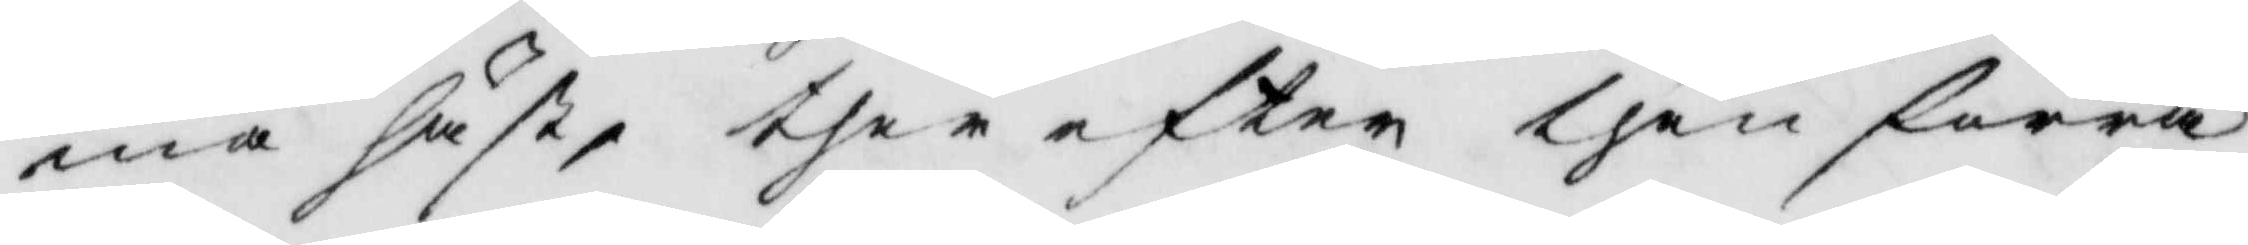ma häst, ther efter then förra
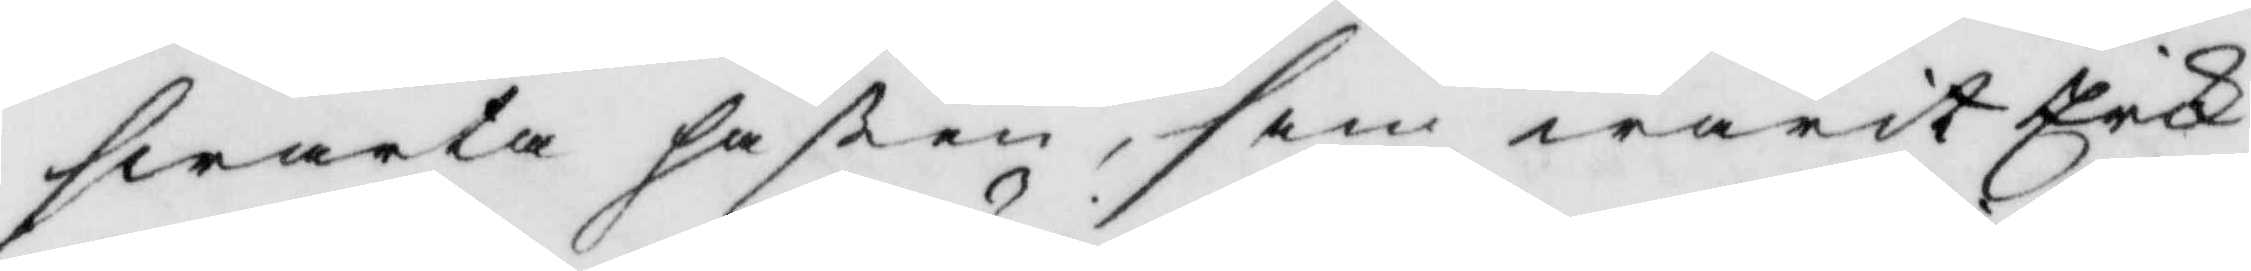swarta hästen, som warit Erik
